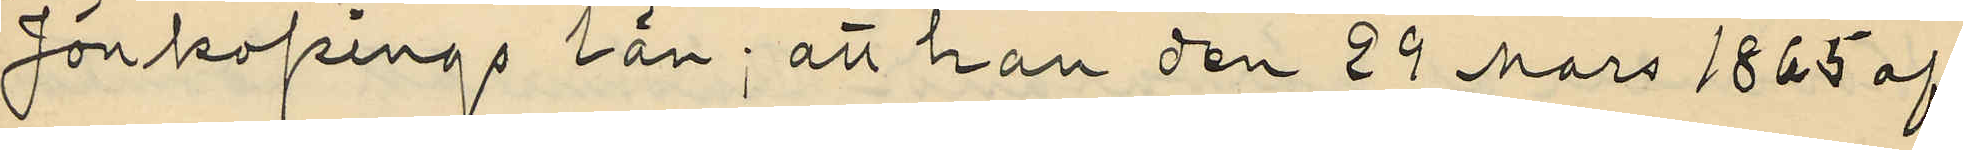Jönköpings län; att han den 29 Mars 1865 af
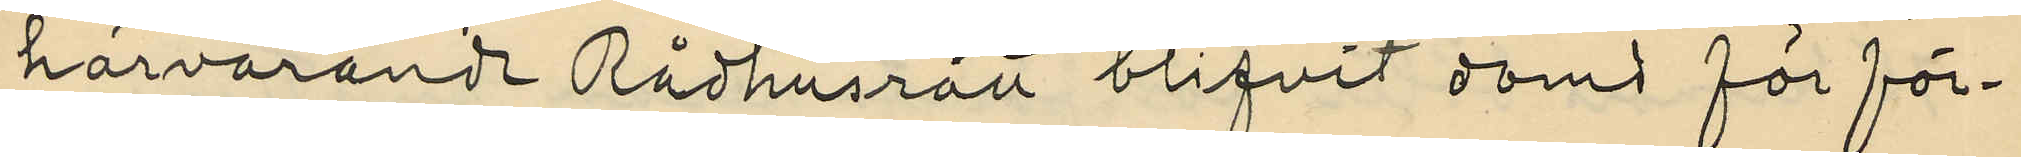härvarande Rådhusrätt blifvit dömd för för¬
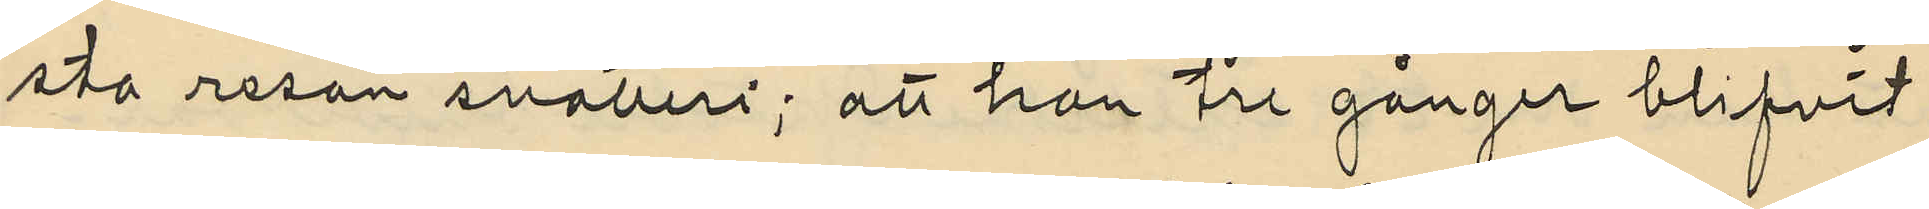sta resan snatteri; att han tre gånger blifvit
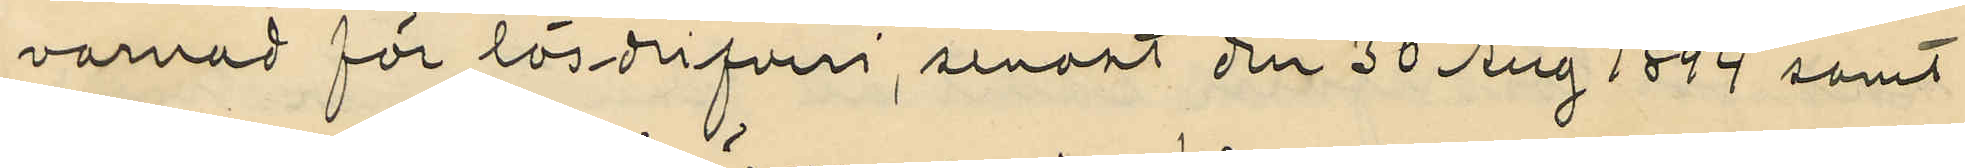varnad för lösdrifveri, senast den 30 Aug 1894 samt
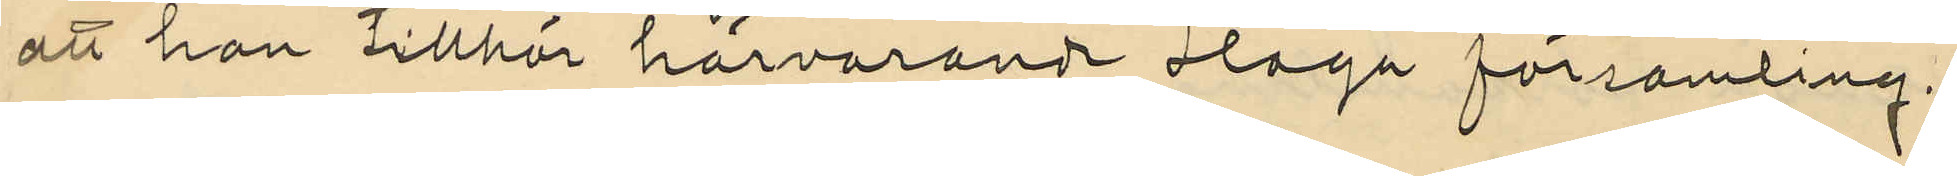att han tillhör härvarande Haga församling.
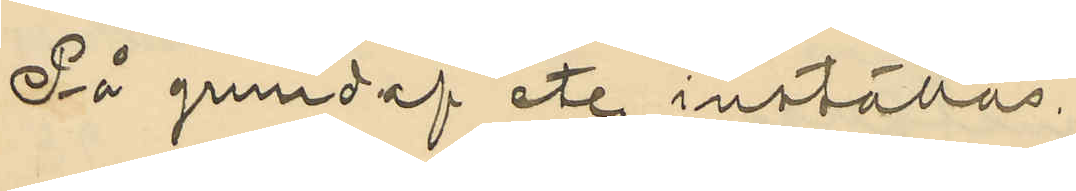På grund af etc inställas.
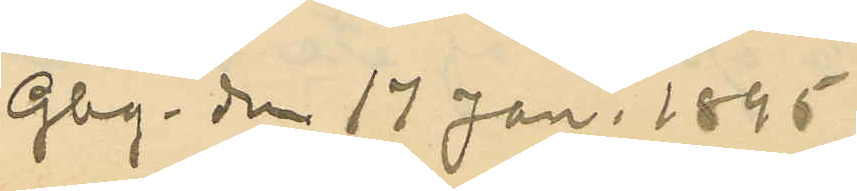Gbg. den 17 Jan. 1895
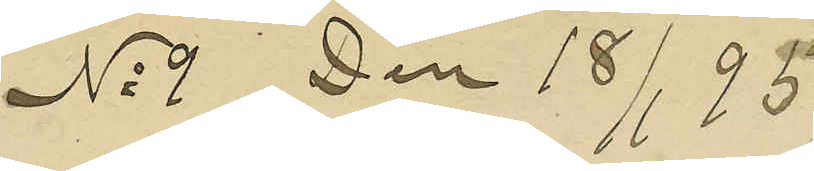No 9 den 18/1 95
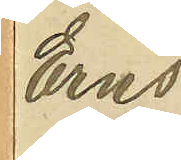Erns
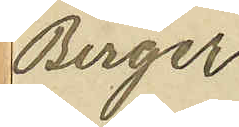Birger
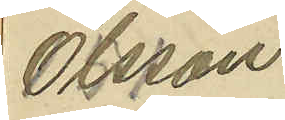Olsson
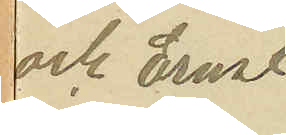och Ernst
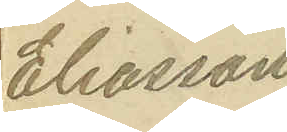Eliasson
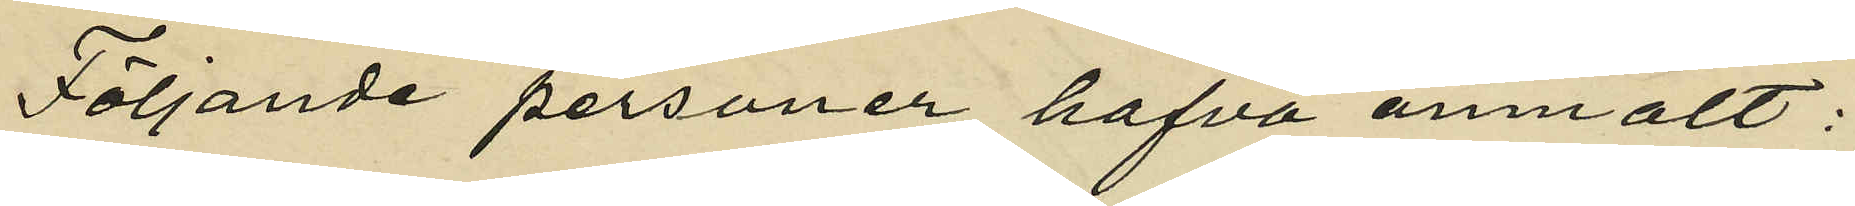Följande personer hafva anmält:
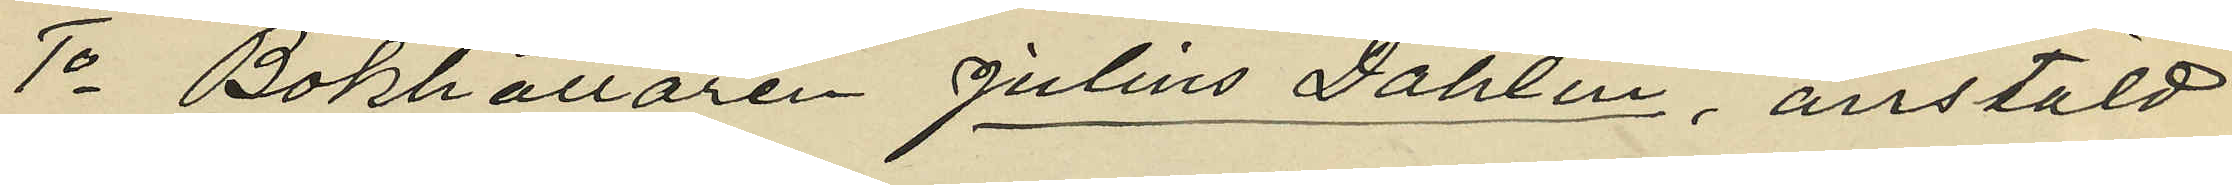1o Bokhållaren Julius Dahlin, anstäld
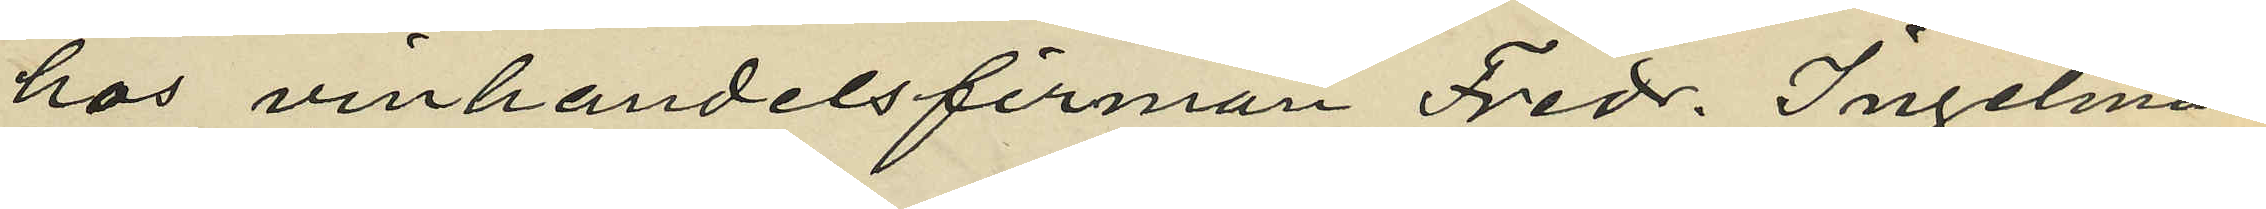hos vinhandelsfirman Fredr. Ingelman
